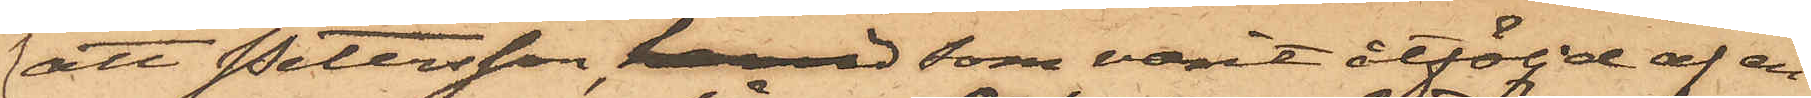att Petersson, härvid som varit åtföljd af en
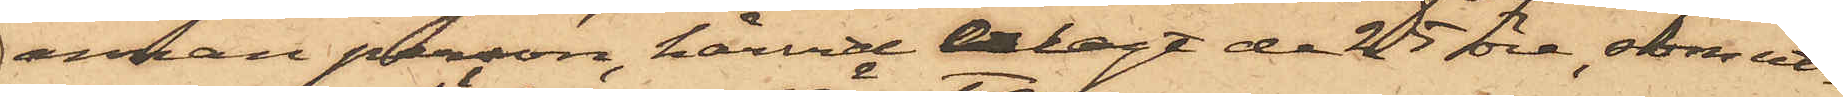annan person, härvid erlagt de 25 öre, som ut¬
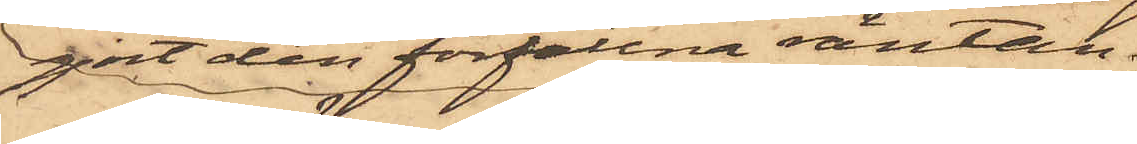gjort den förfallna räntan,
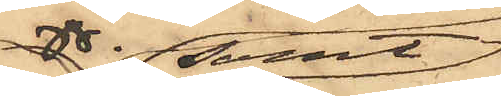samt
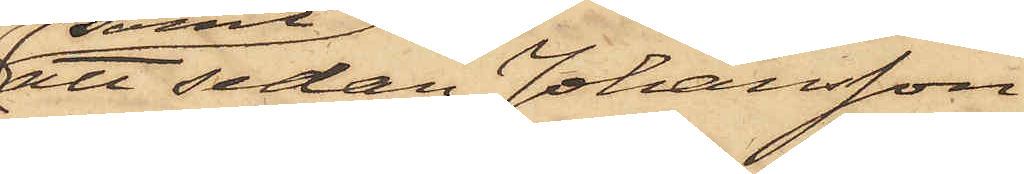att sedan Johansson
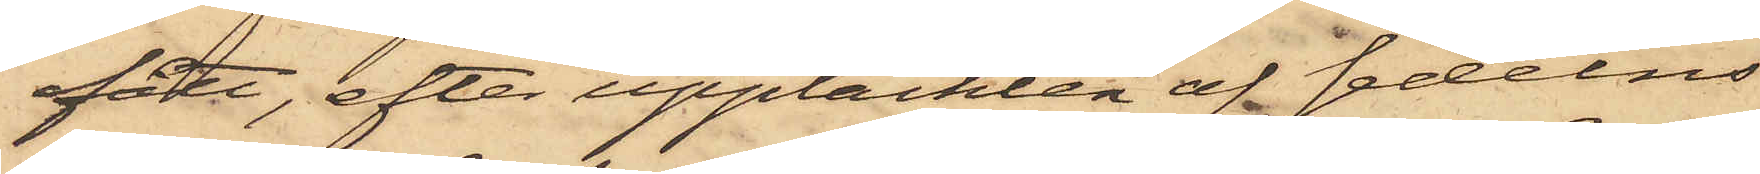fått, efter upptäckten af sedelns
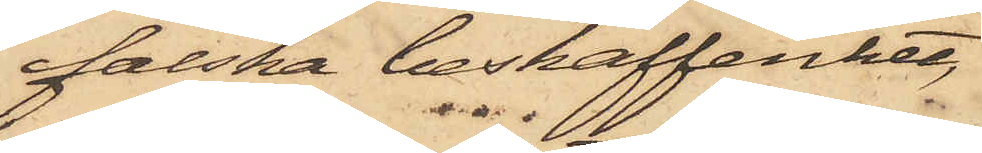falska beskaffenhet,
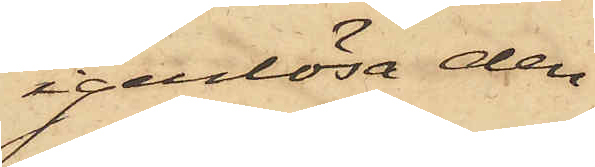igenlösa den¬
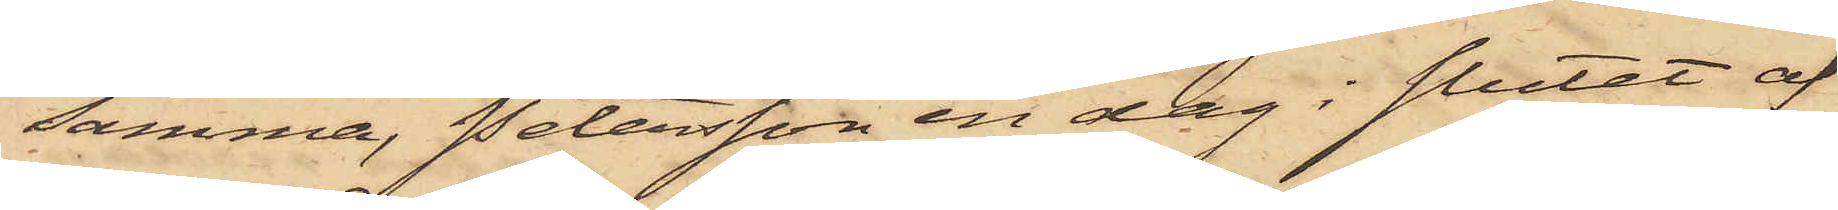samma, Petersson en dag i slutet af
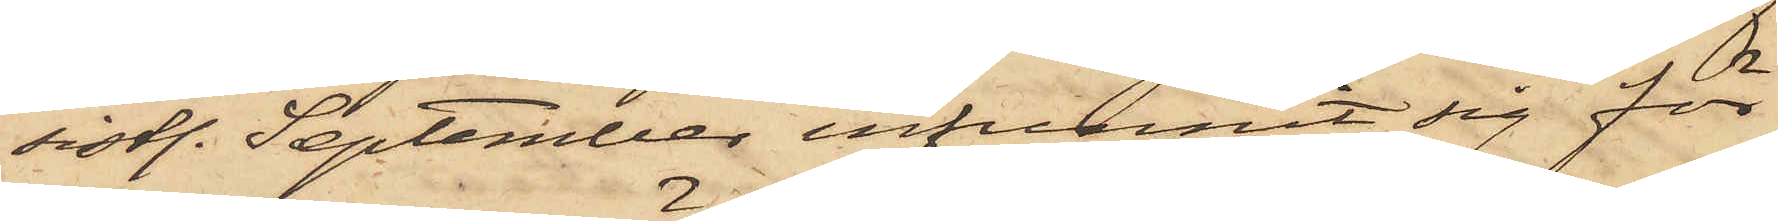sistl. September infunnit sig för
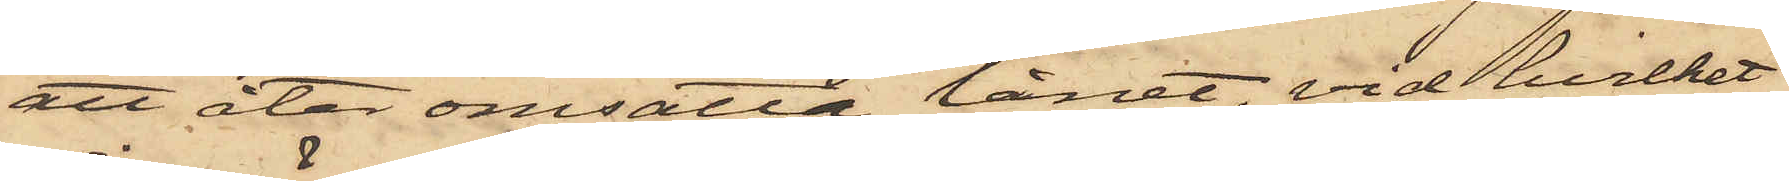att åter omsätta lånet, vid hvilket
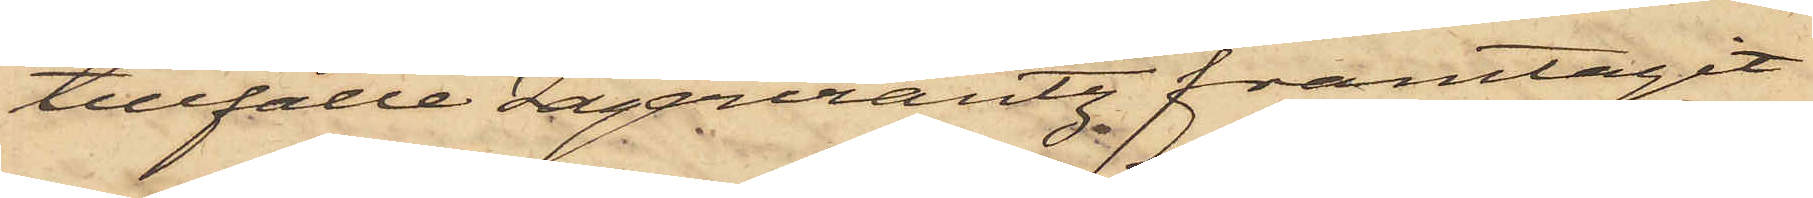tillfälle Lagercrantz framtagit
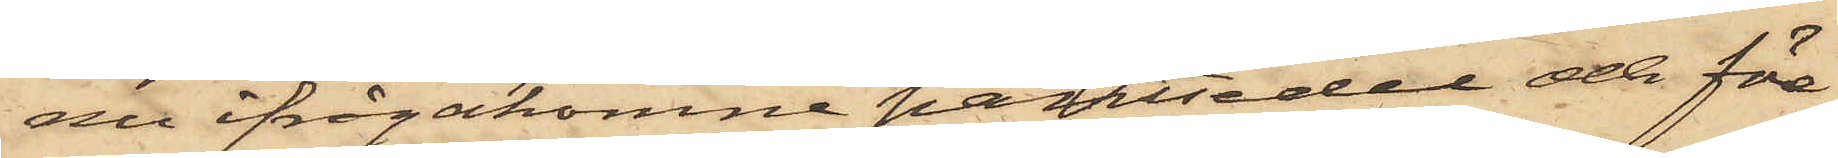nu ifrågakomne pantsedel och före¬
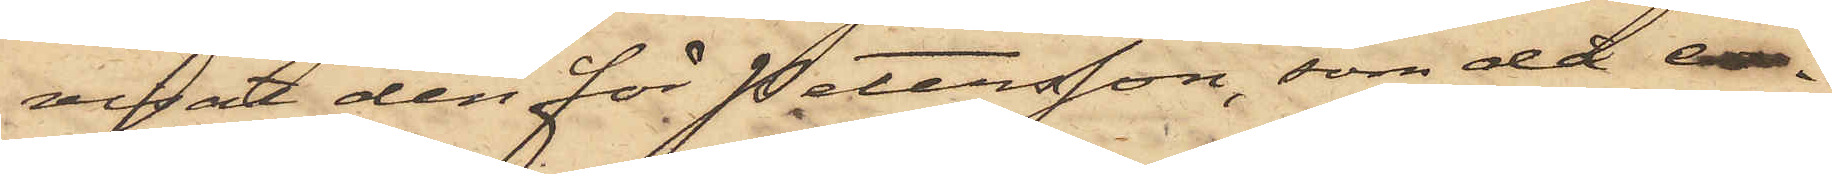visat den för Petersson, som då er¬
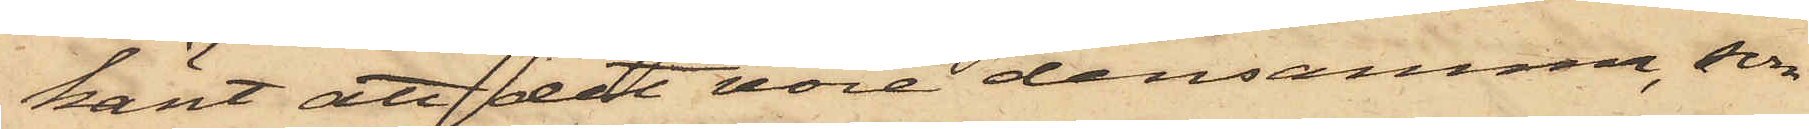känt att det vore densamme, som
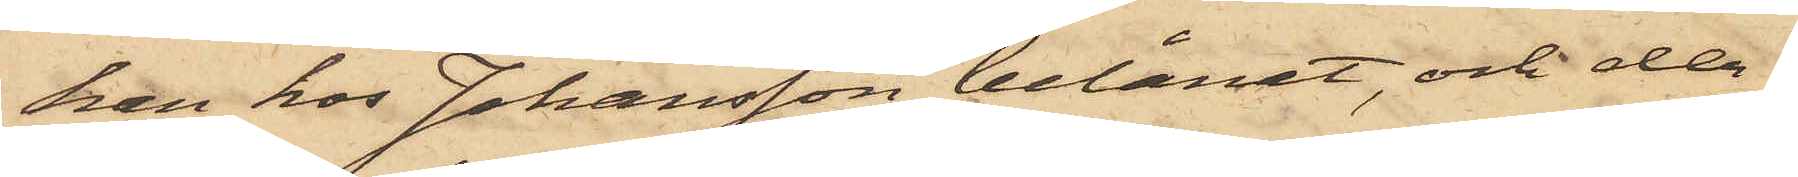han hos Johansson belånat, och der¬
